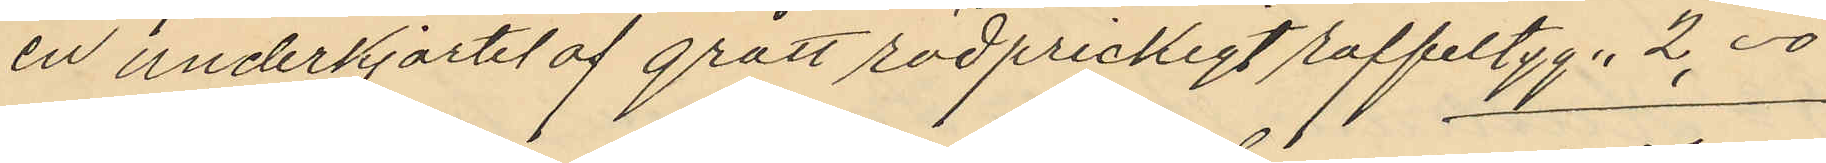en underkjortel af grått rödprickigt raffeltyg. 2,00
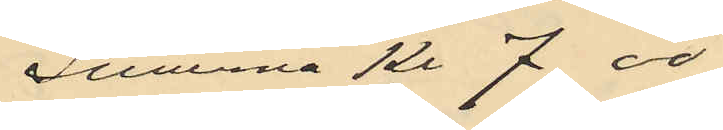Summa Kr. 7.00
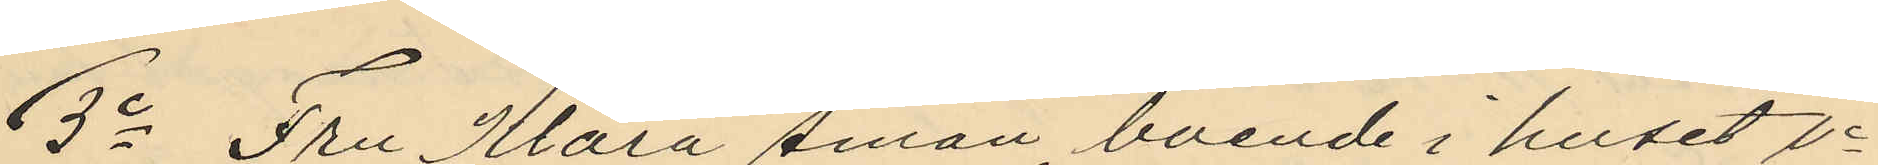3o Fru Klara Åman, boende i huset No
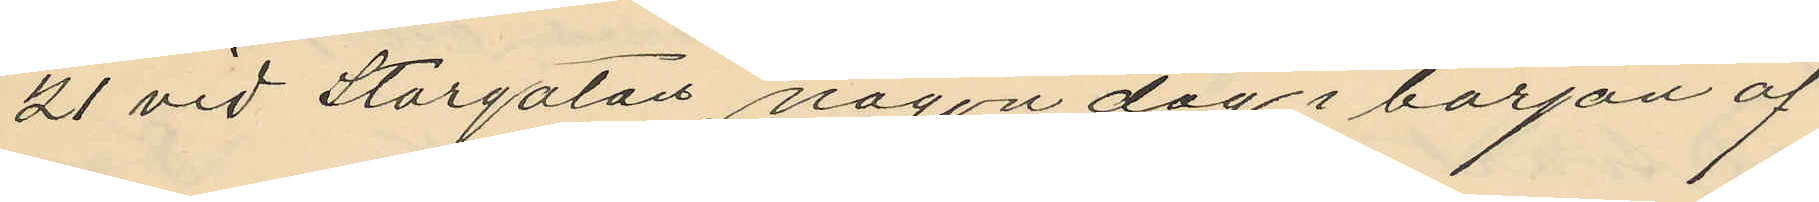21 vid Storgatan, någon dag i början af
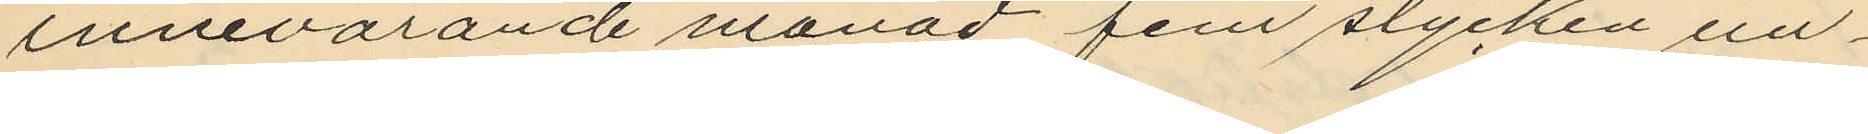innevarande månad fem stycken un¬
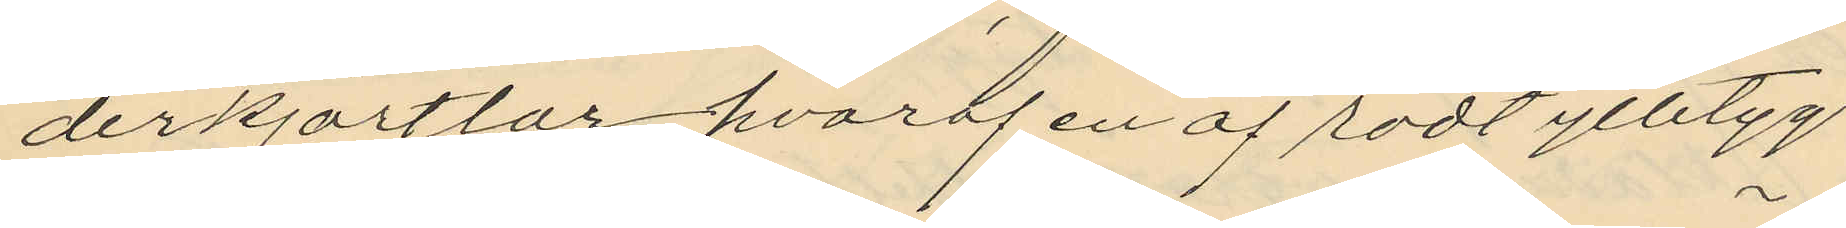derkjortlar hvaraf en af rödt ylletyg
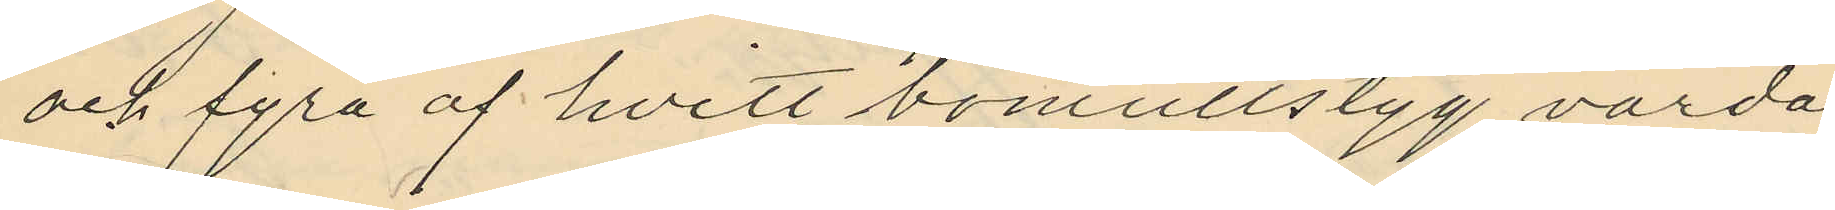och fyra af hvitt bomullstyg värda
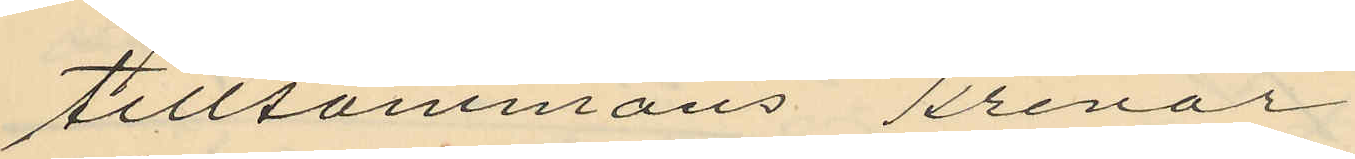tillsammans Kronor
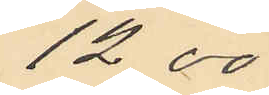12,00
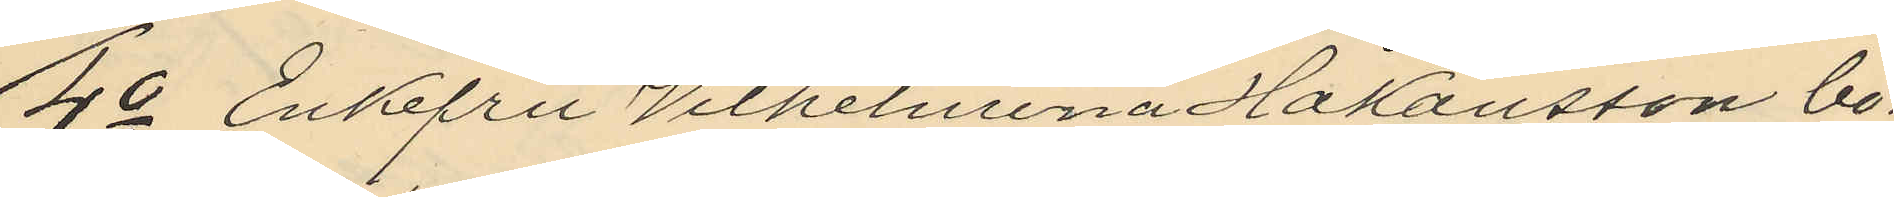4o Enkfru Vilhelmina Håkansson bo¬
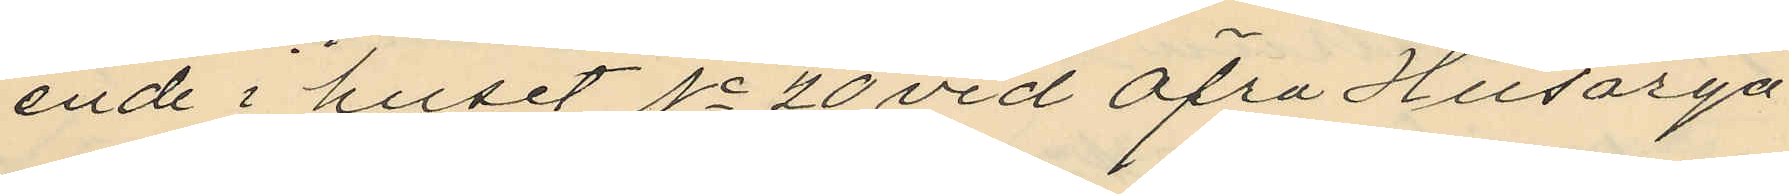ende i huset No 20 vid Öfra Husarga¬
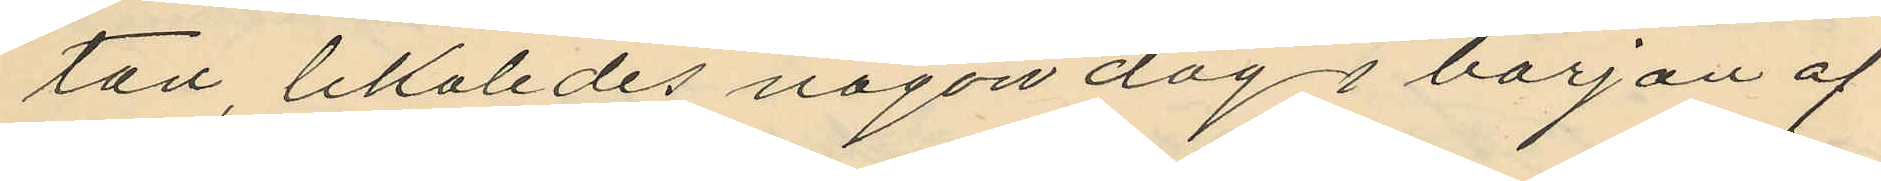tan, likaledes någon dag i början af
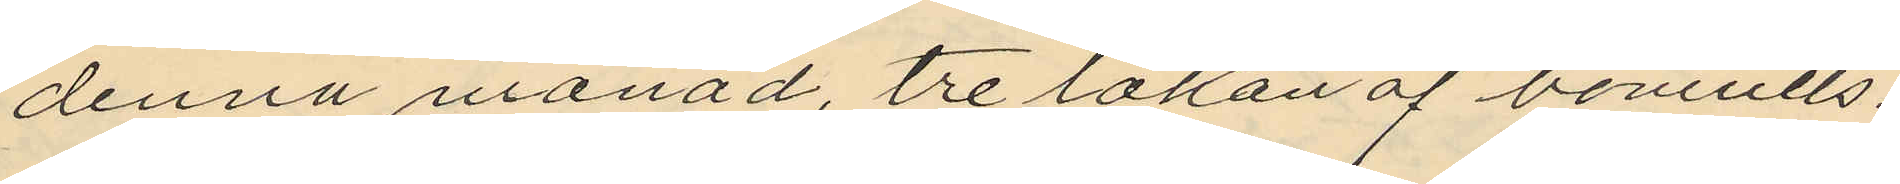denna månad, tre lakan af bomulls¬
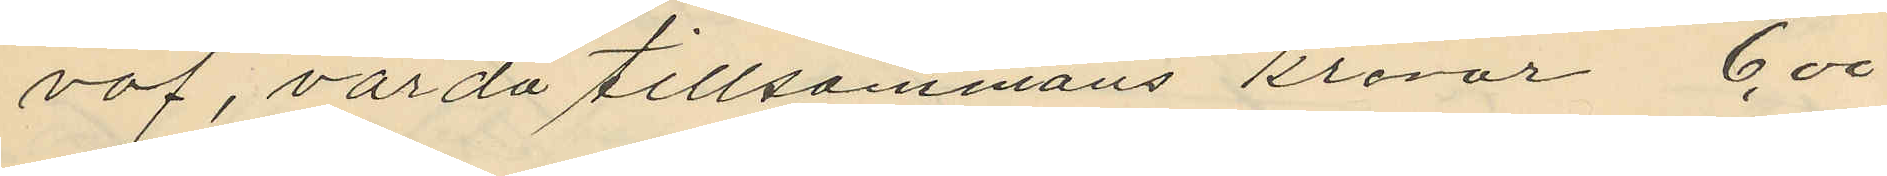väf, värda tillsammans kronor 6.00
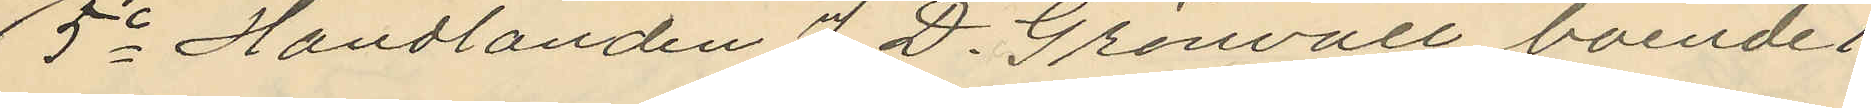5o Handlanden J. D. Grönvall boende i
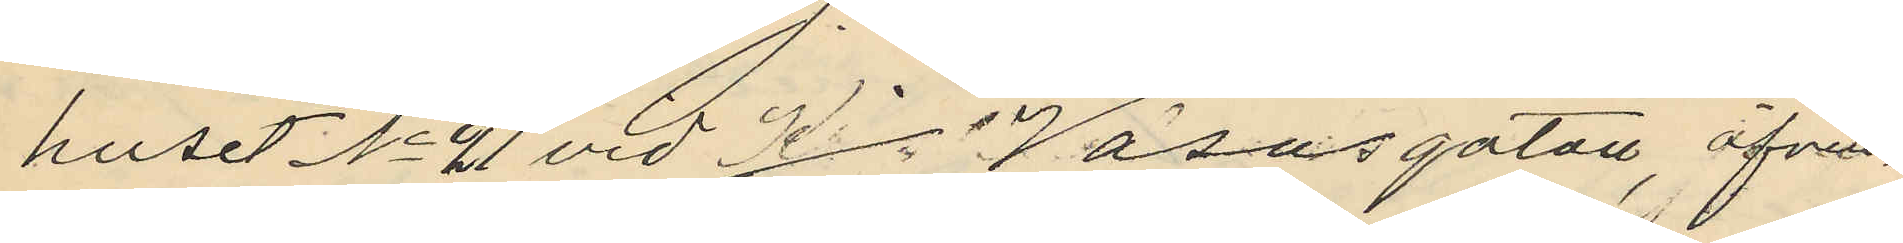huset No 21 vid Kr. Vasagatan, äfven¬
